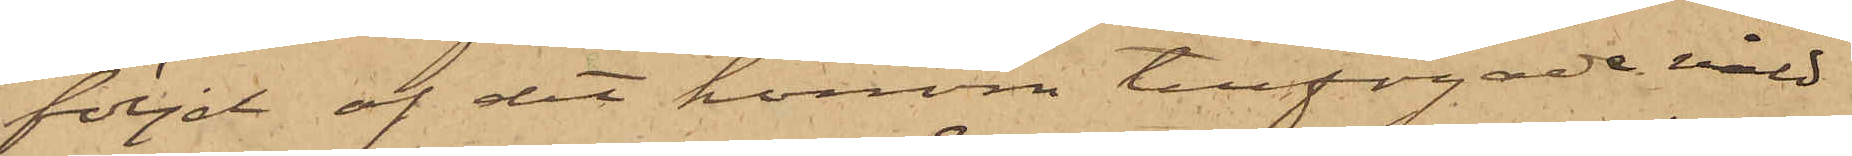följd af det honom tillfogade våld
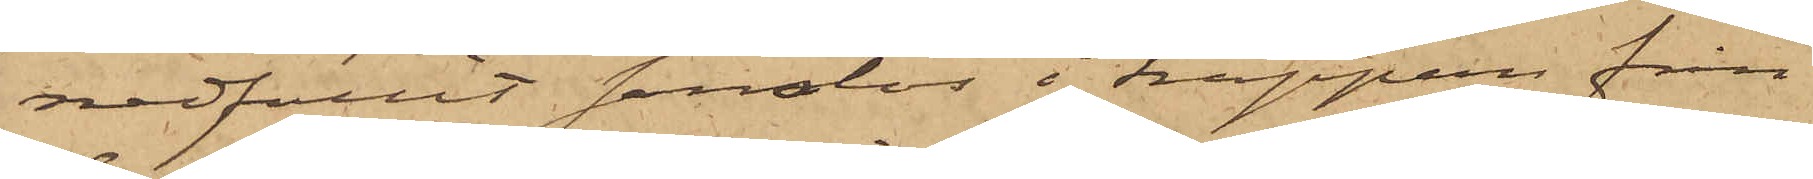nedfallit sanslös i trappan från
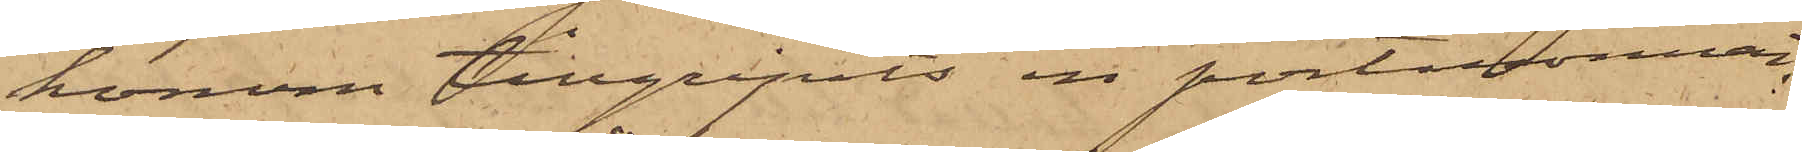honom tillgripits en portmonnai,
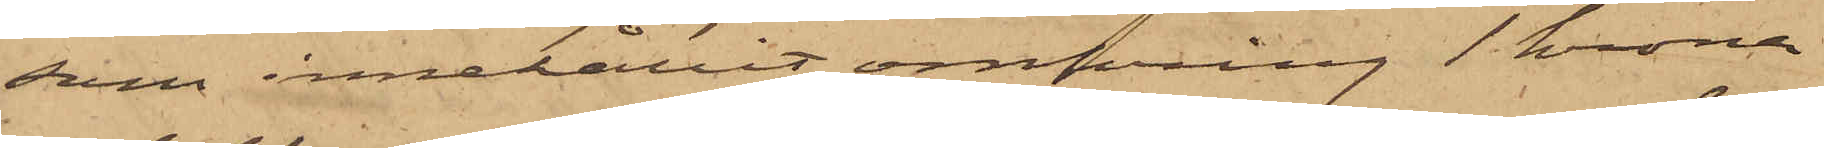som innehållit omkring 1 krona
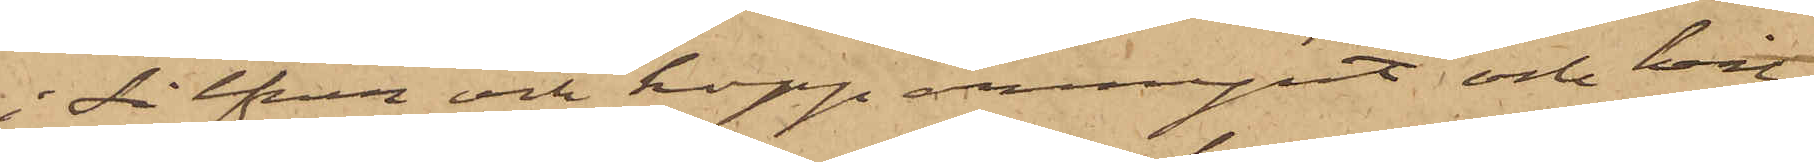i silfver och kopparmynt och hvil¬
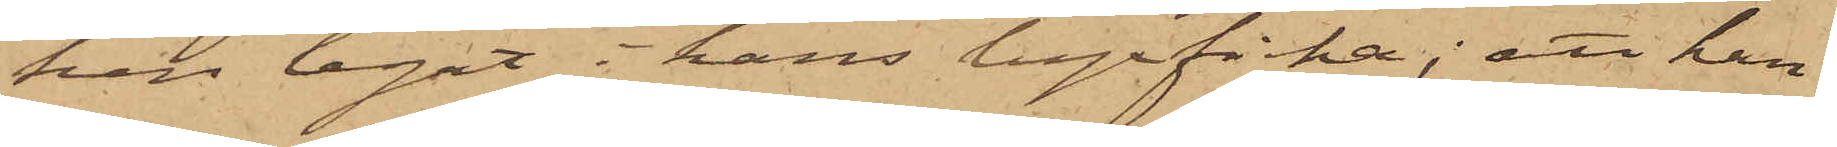ken legat i hans byxficka; att han
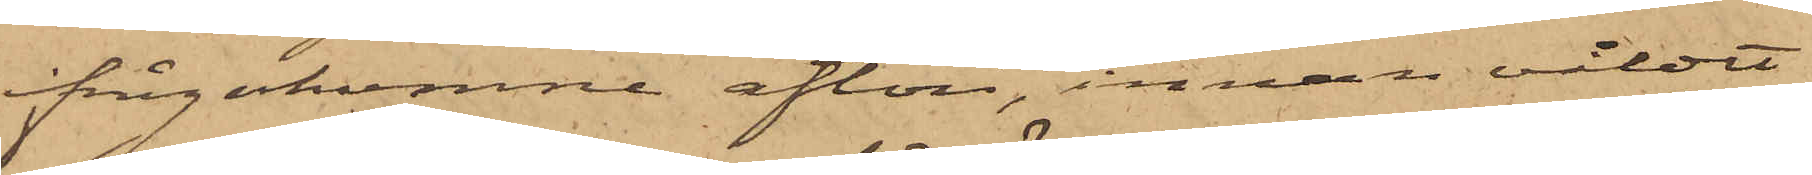ifrågakomne afton, innan våldet
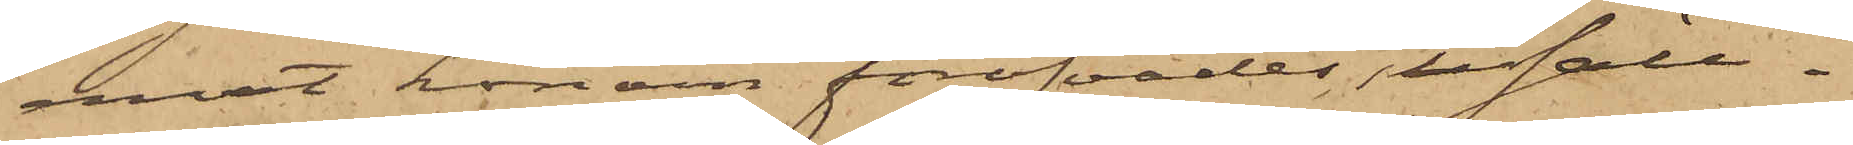emot honom föröfvades, i säll¬
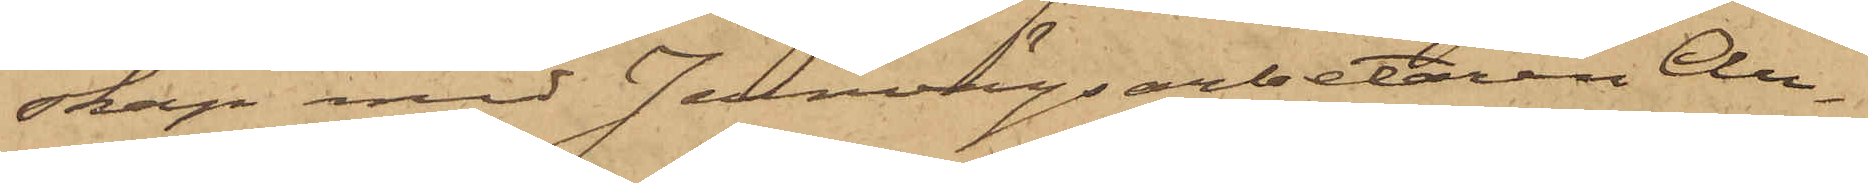skap med Jernvägsarbetaren Au¬
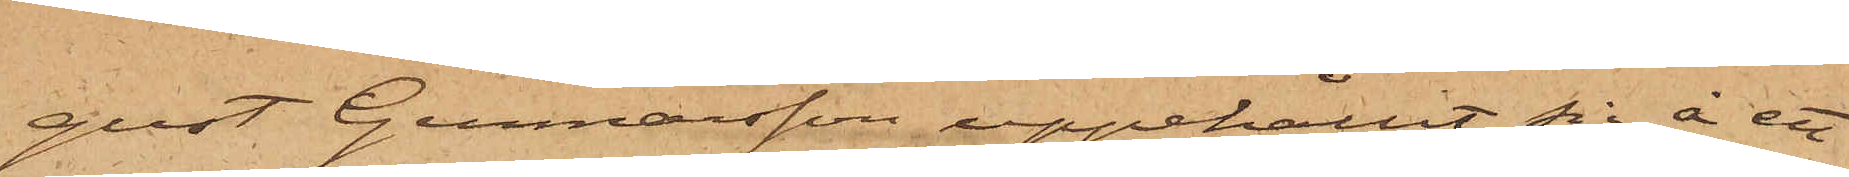gust Gunnarsson uppehållit sig å ett
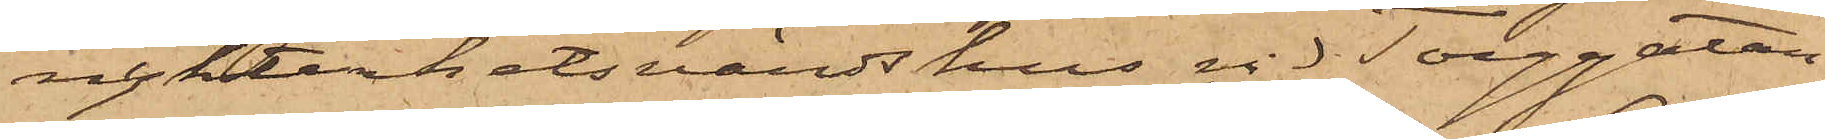nykterhetsvärdshus vid Torggatan,
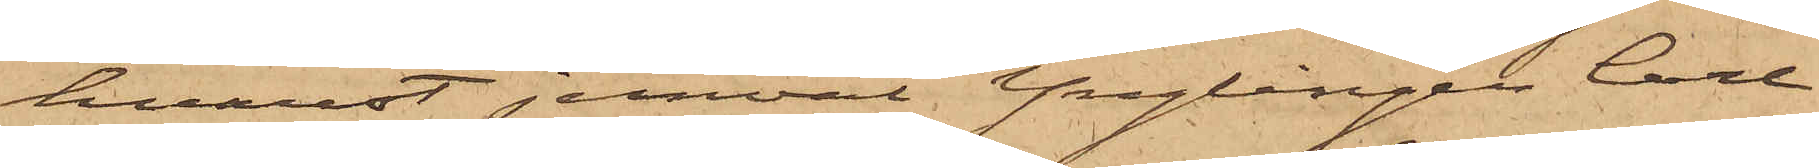hvarest jemväl Ynglingen Carl
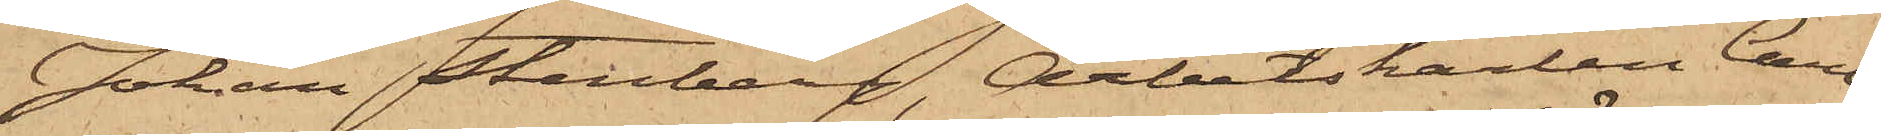Johan Stenberg, Arbetskarlen Carl
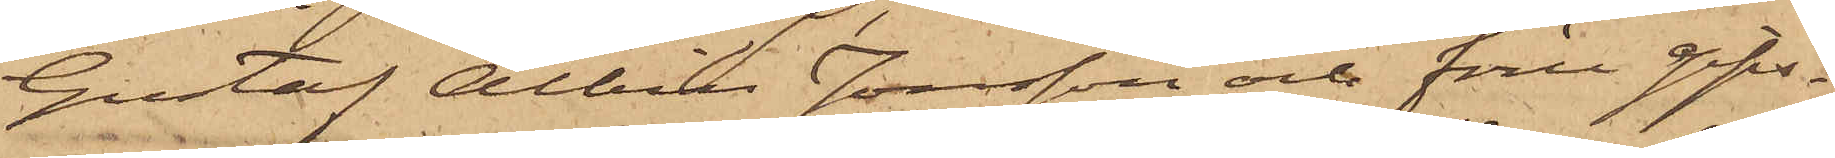Gustaf Albin Jonsson och före gips¬
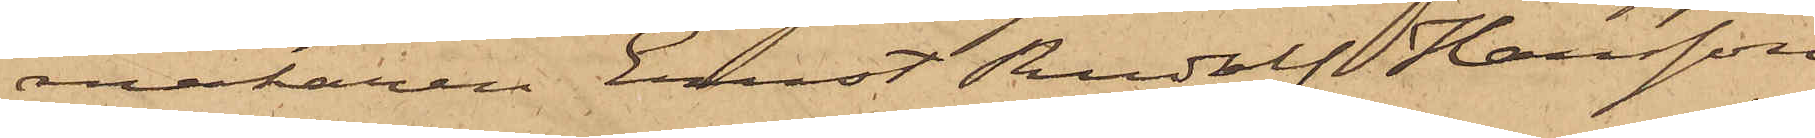makaren Ernst Rudolf Hansson
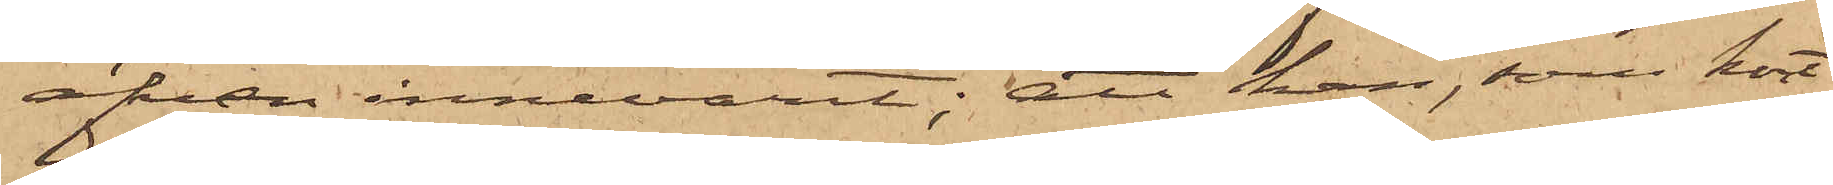äfven innevarit; att han, som kort
